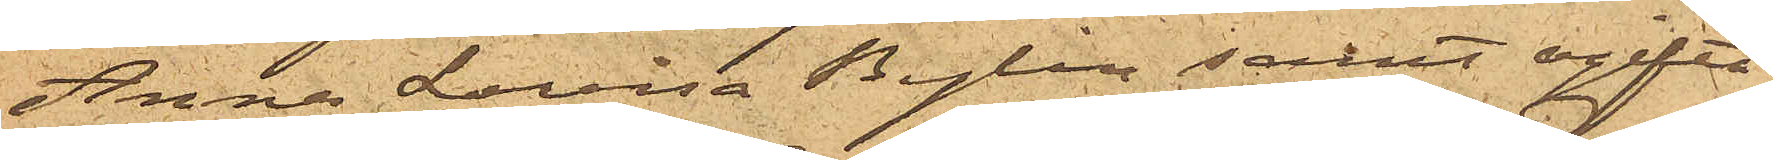Anna Lovisa Bylin samt ogifta
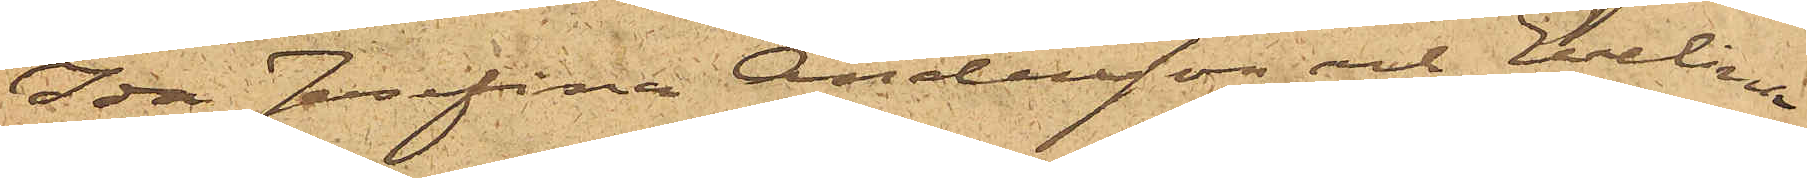Ida Josefina Andersson och Evelina
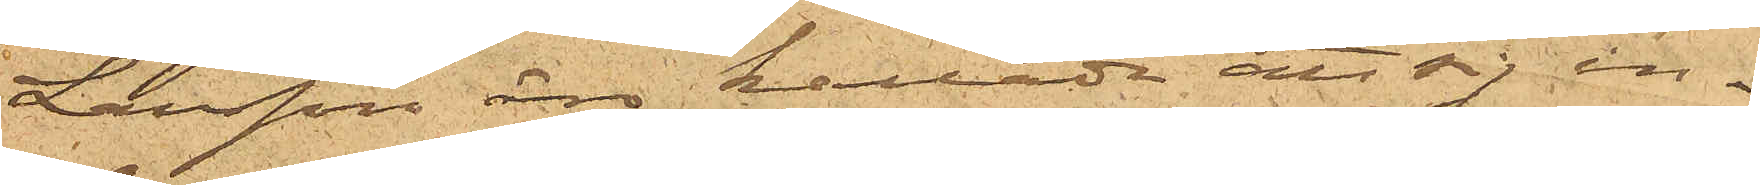Larsson äro kallade att sig in¬
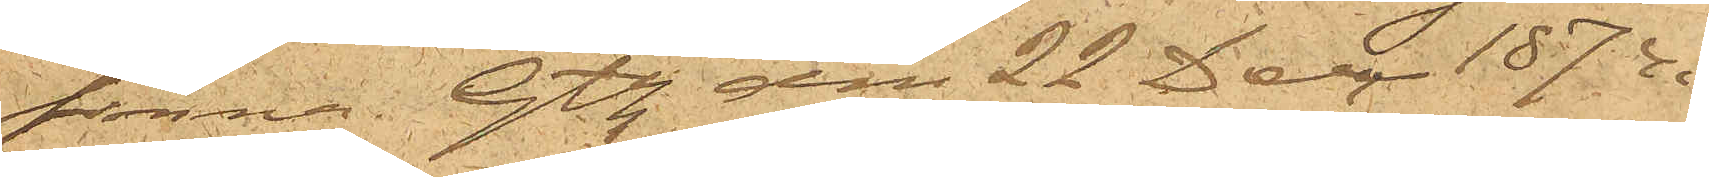finna. Gtbg den 22 Dec 1874.
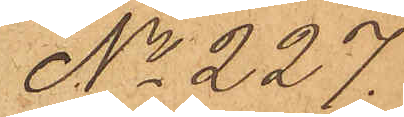No 227.
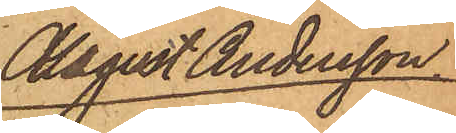August Andersson
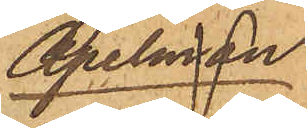Apelman
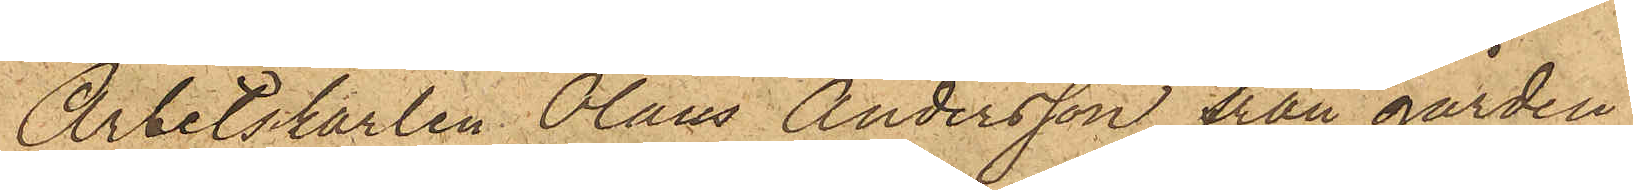Arbetskarlen Olaus Andersson från gården
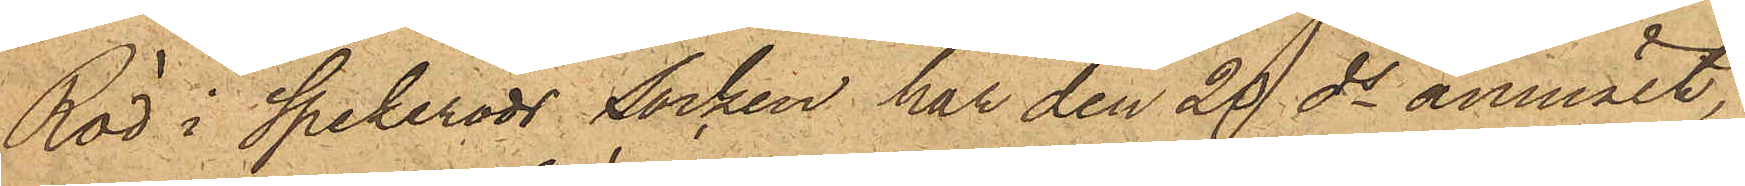Röd i Spekeröds socken har den 20 ds anmält,
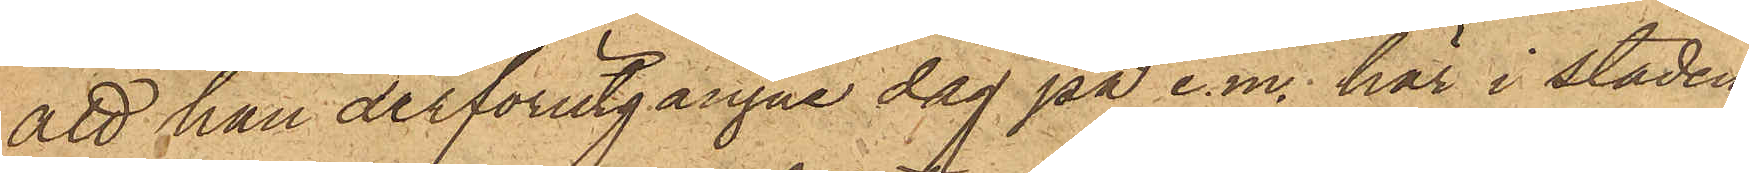att han derförutgångne dag på e.m. här i staden
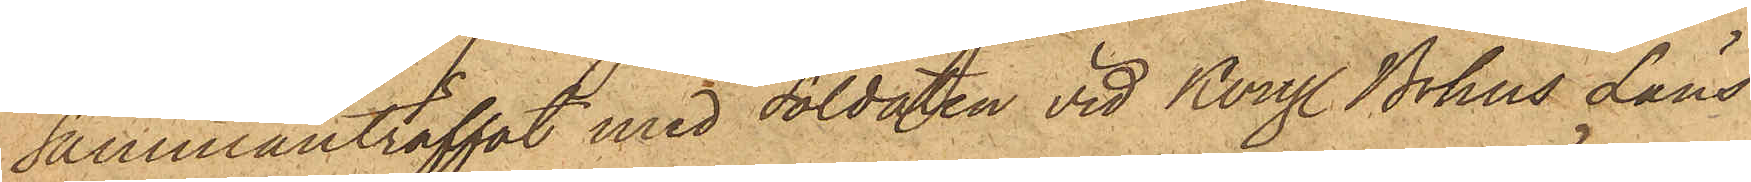sammanträffat med Soldaten vid Kongl. Bohus Läns
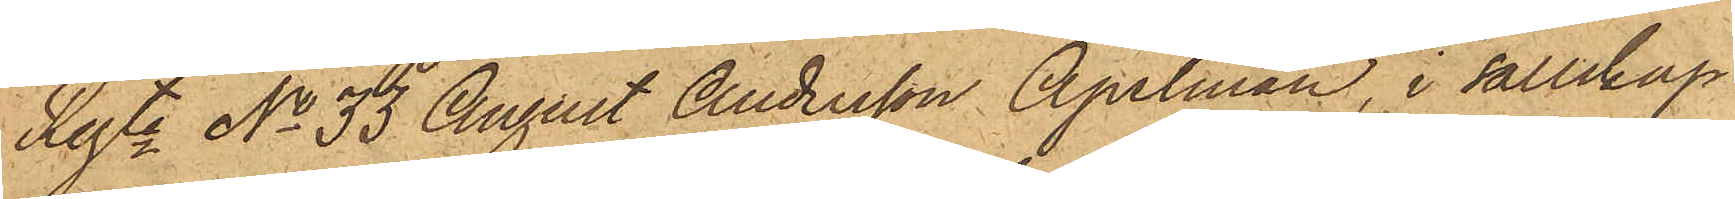Regte No 33 August Andersson Apelman, i sällskap
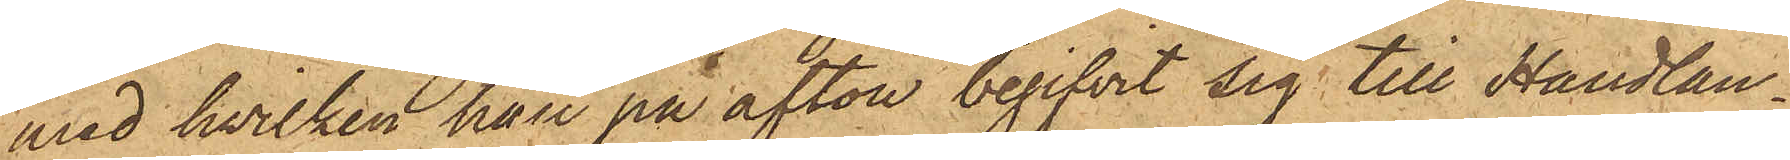med hvilken han på afton begifvit sig till Handlan¬
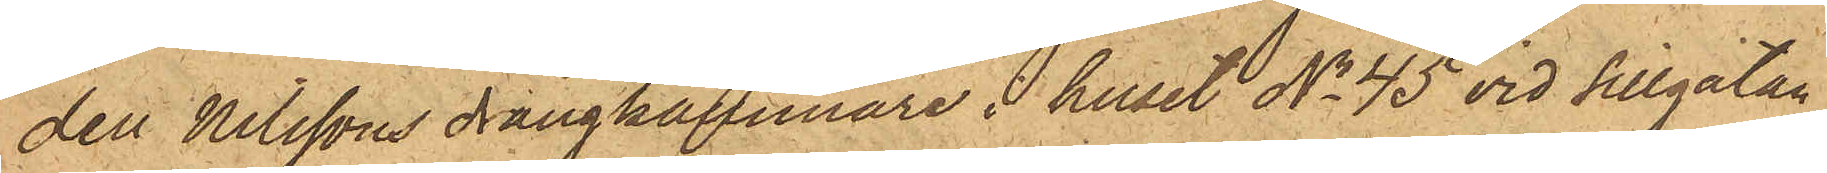den Nilssons drängkammare i huset No 45 vid Sillgatan,
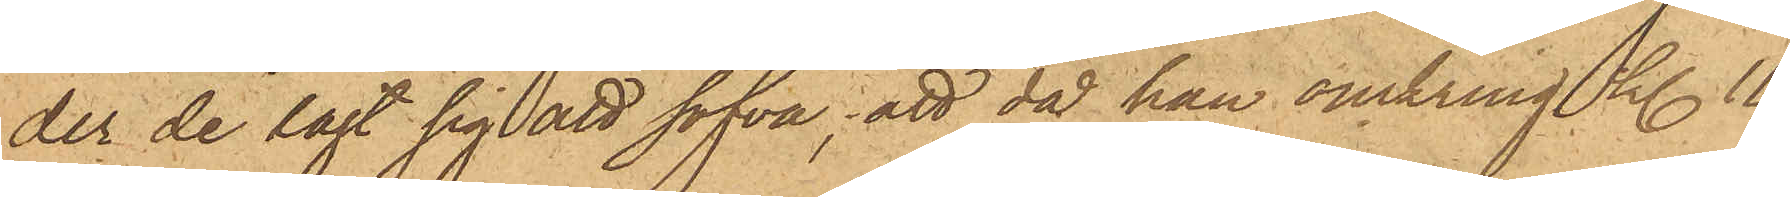der de lagt sig att sofva; att då han omkring kl. 11
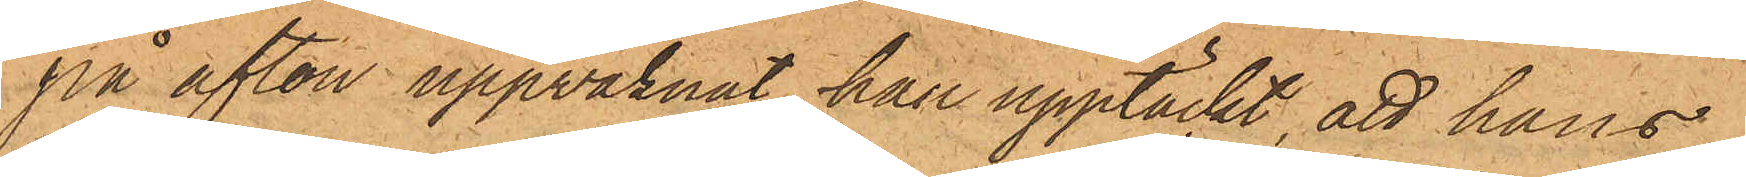på afton uppvaknat, han upptäckt, att hans
